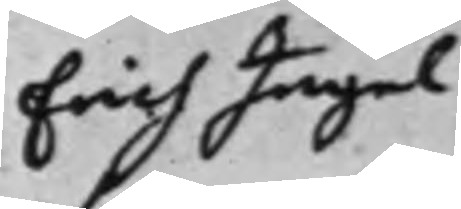Erich Ingel¬
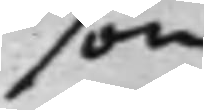son.
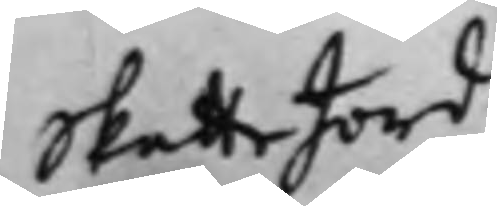Skatte Jord
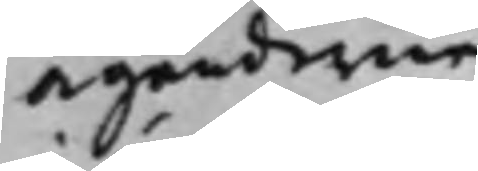äganderne
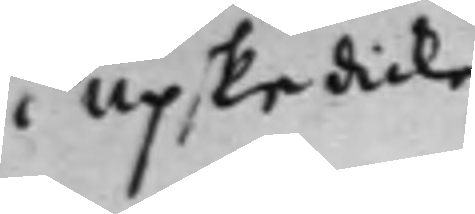i Upskedicka
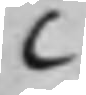C
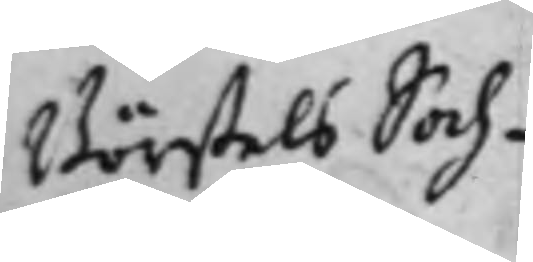Börstels Soch¬
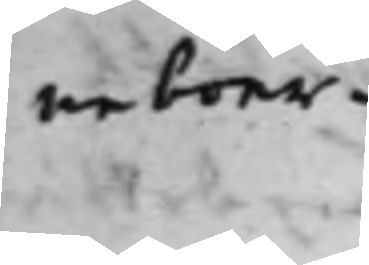neboer.
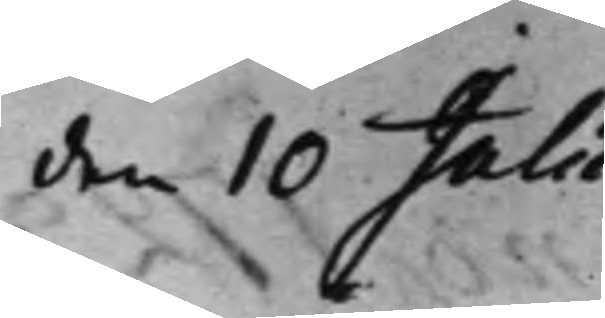den 10 Julii
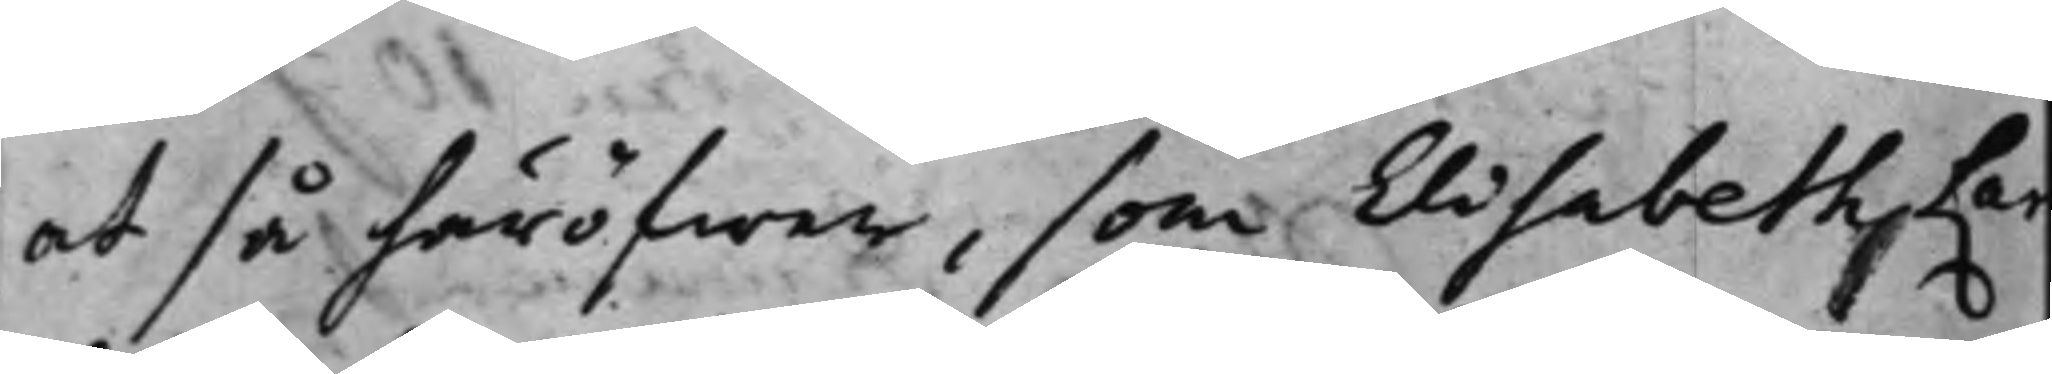at så häröfwer, som Elisabeth Lar
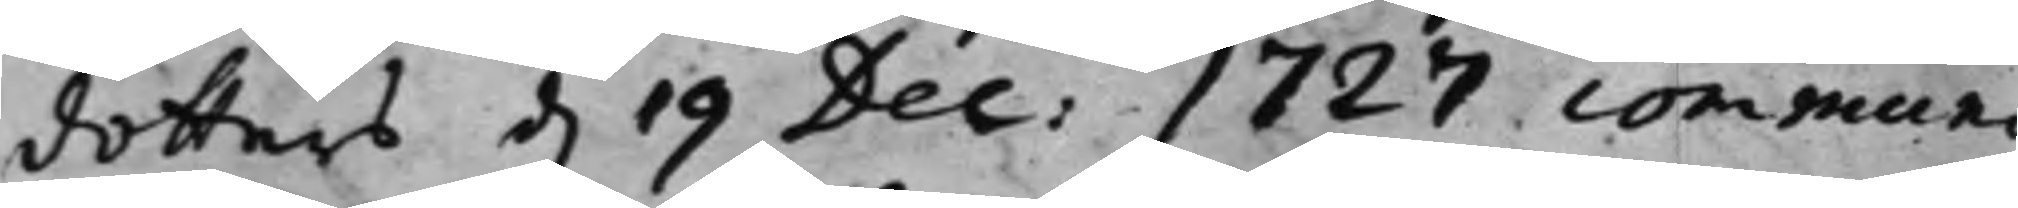dotters d. 19 Dec: 1727 communi¬
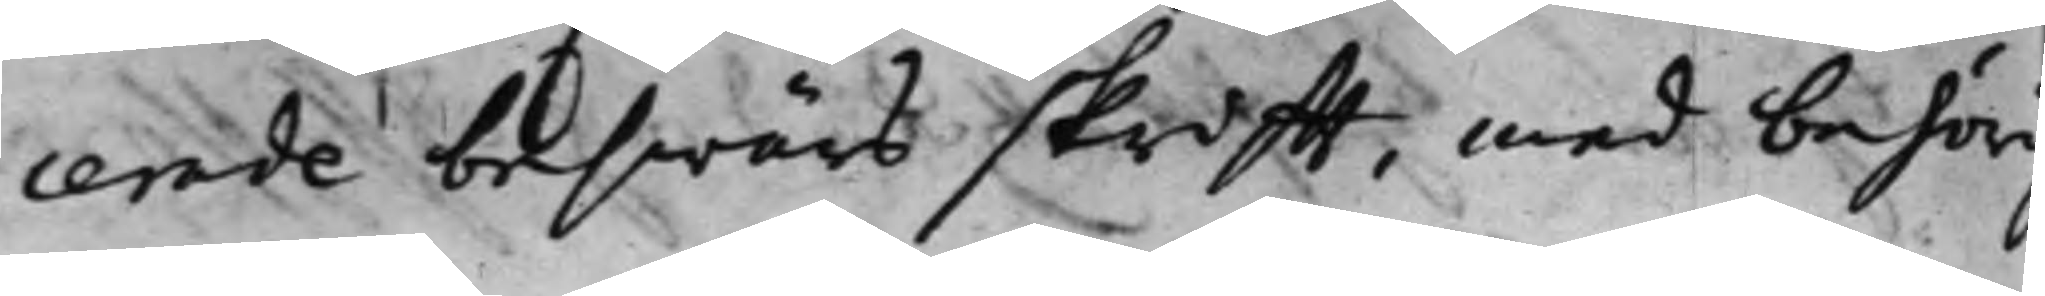cerade beswärs skrifft, med behörig
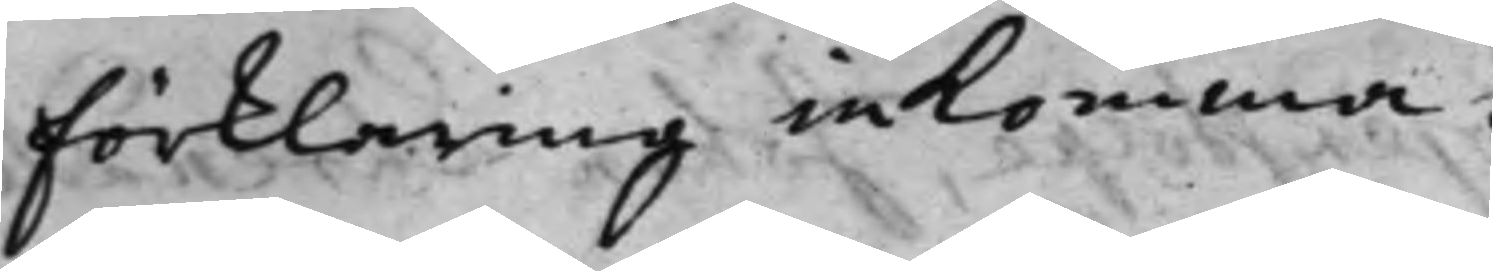förklaring inkomma.
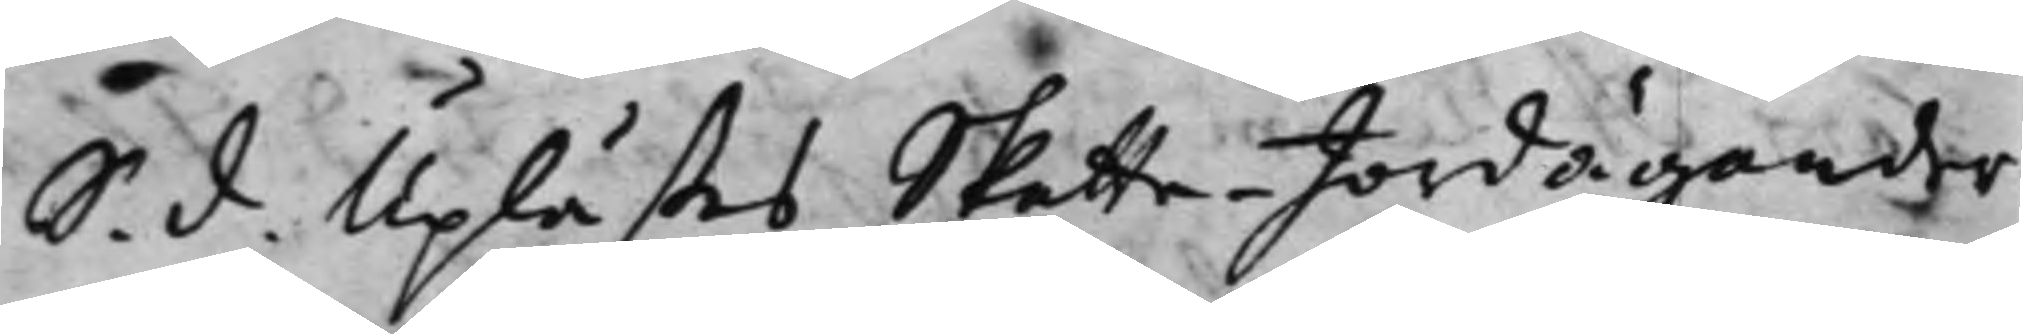S. d. Uplästes Skatte-Jordägander¬
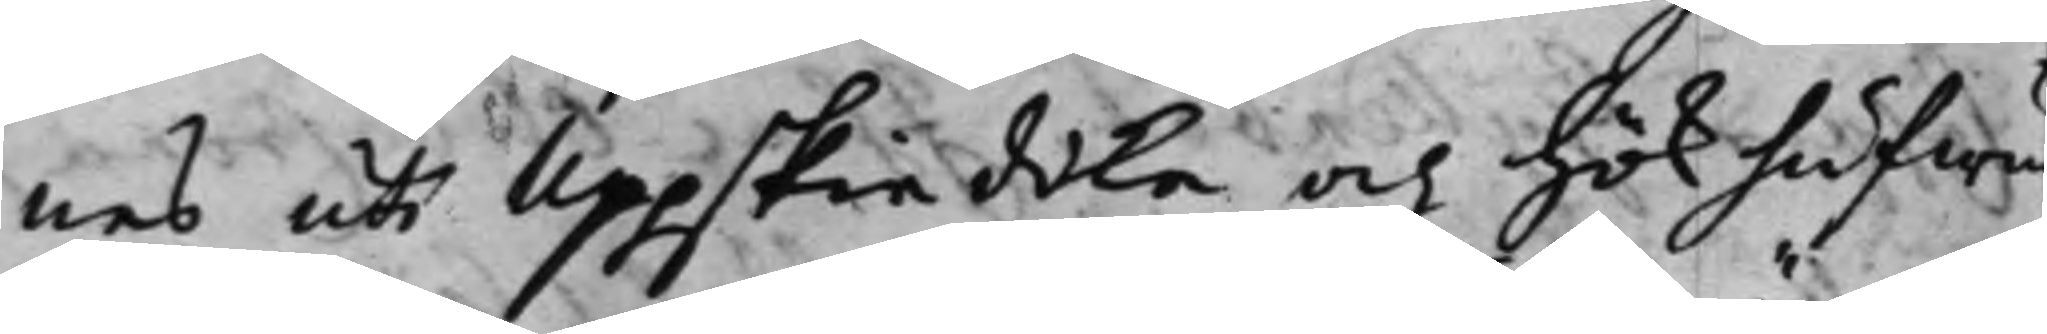nes uti Uppskiedika och Hökhufwu
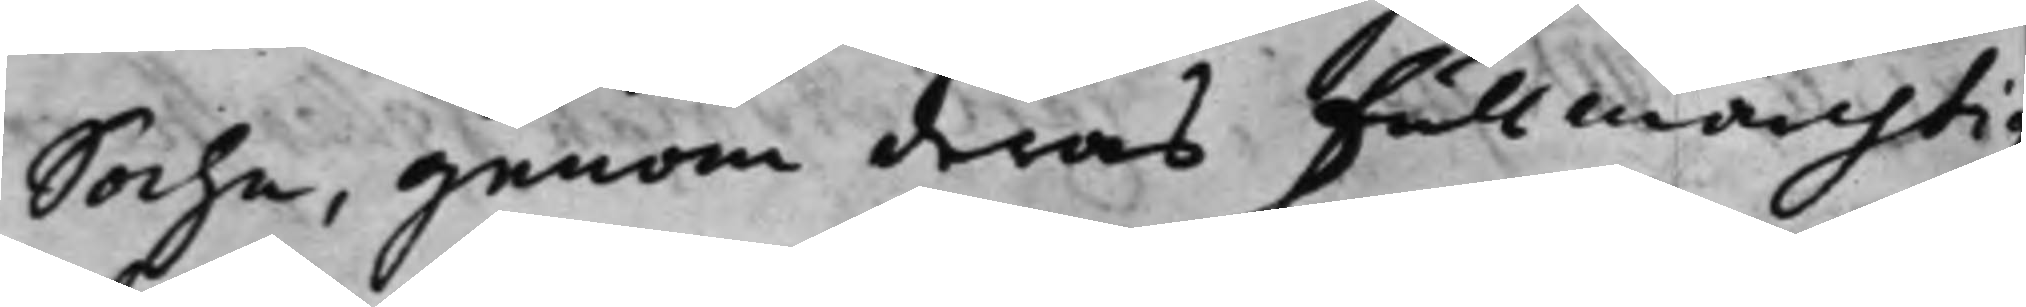Sochn, genom deras fullmächtig
